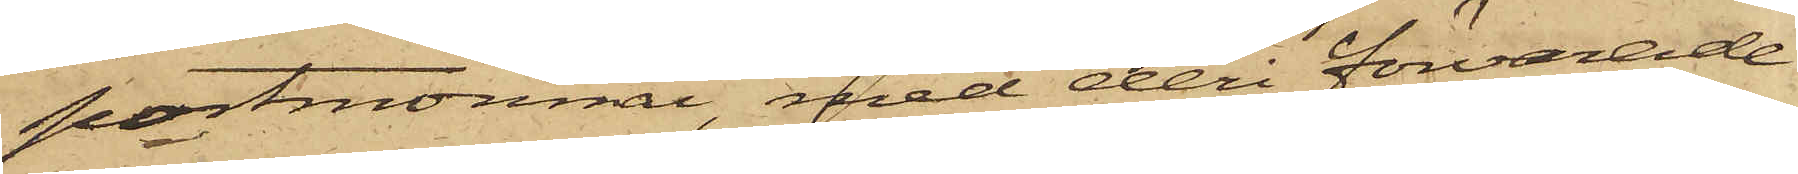portmonnai, med deri förvarade
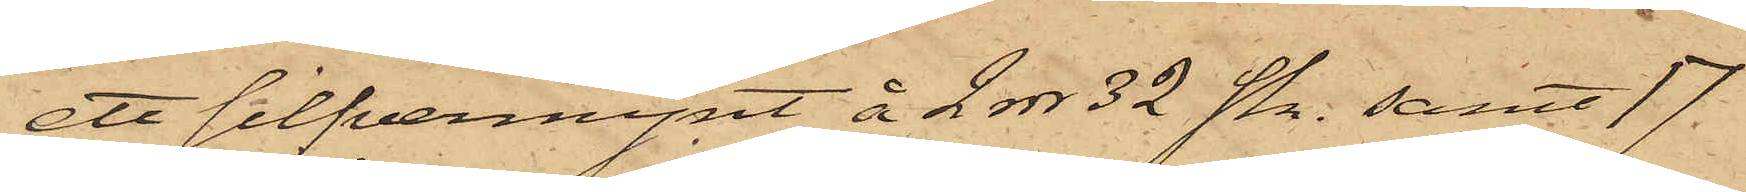ett silfvermynt å 2 rdr 32 sk. samt 17
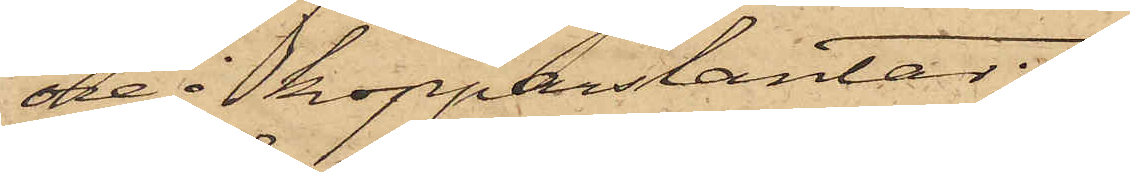öre i kopparslantar;
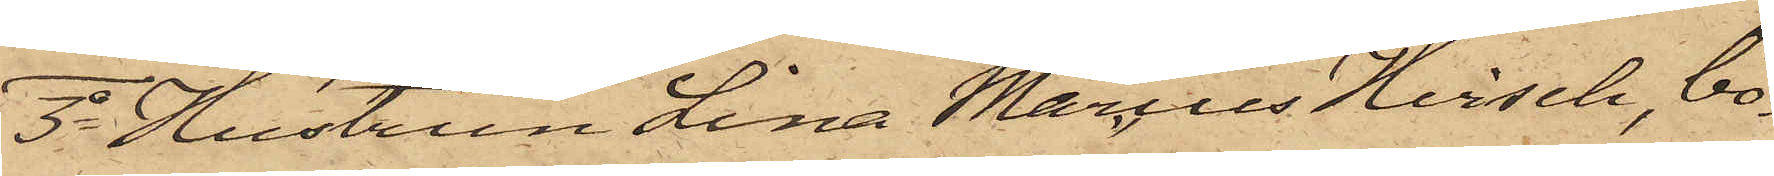3o Hustrun Lina Marcus Hirsch, bo¬
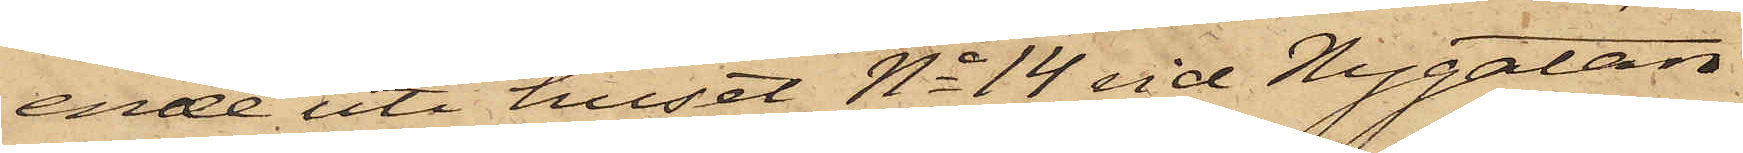ende uti huset No 14 vid Nygatan
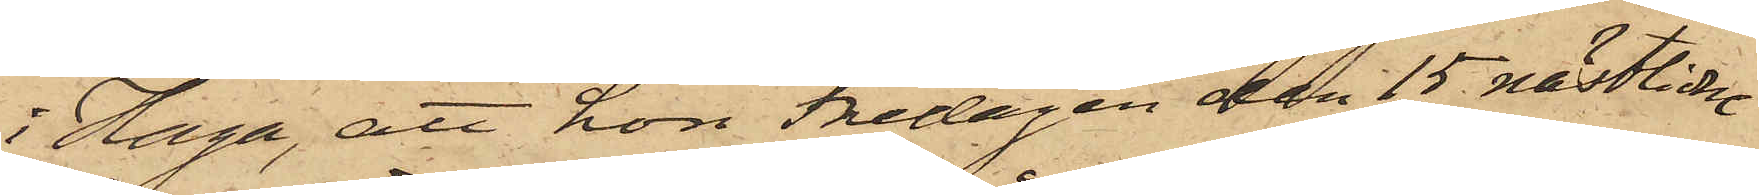i Haga, att hon Fredagen den 15 nästlidne
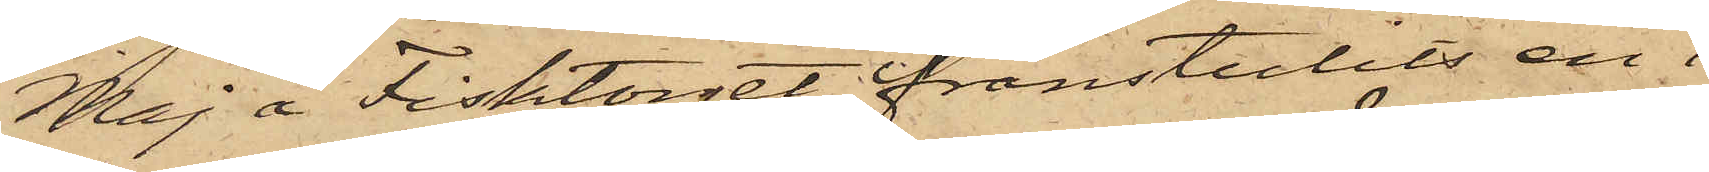Maj å Fisktorget frånstulits en i
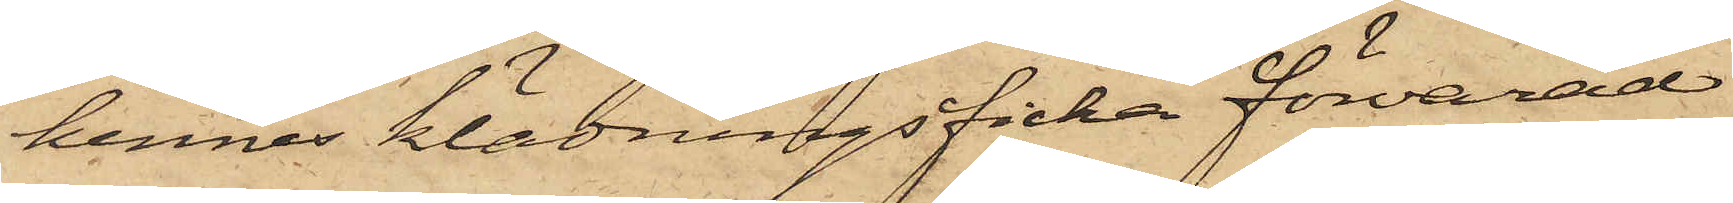hennes klädningsficka förvarad
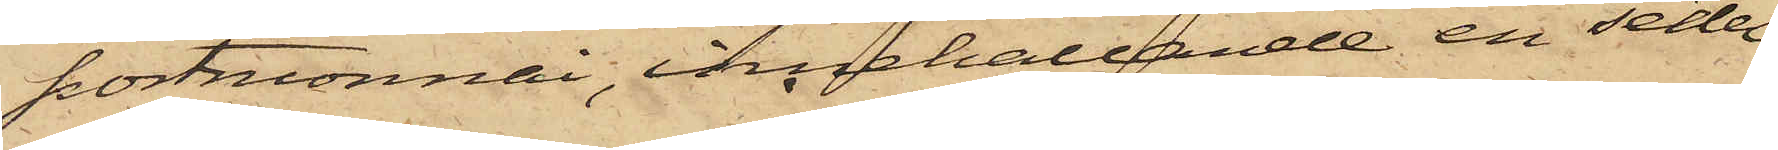portmonnai, innehållande en sedel
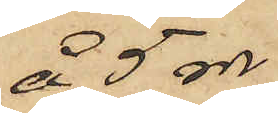 å 5 rdr,
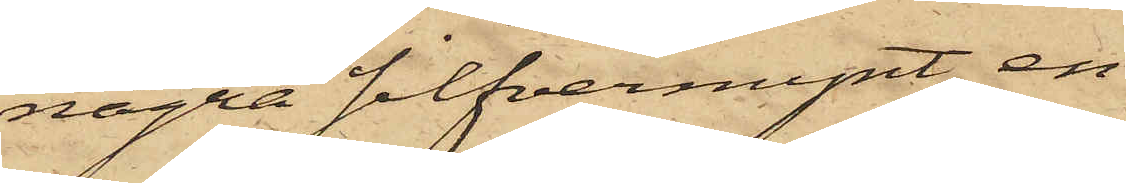några silfvermynt, en
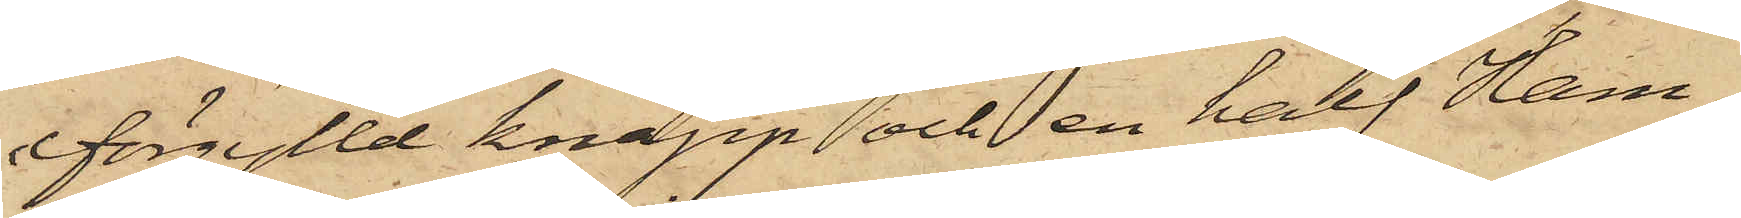förgylld knapp och en half Ham¬
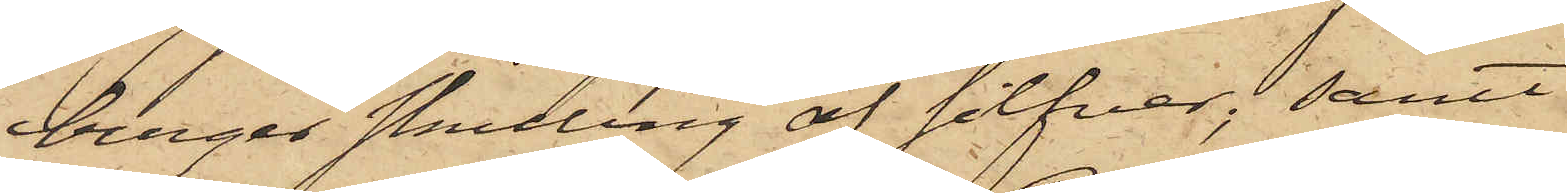burger skilling af silfver; samt
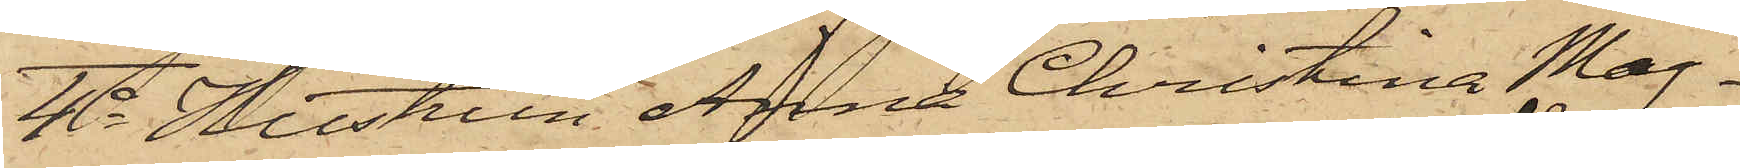4o Hustrun Anna Christina Mag¬
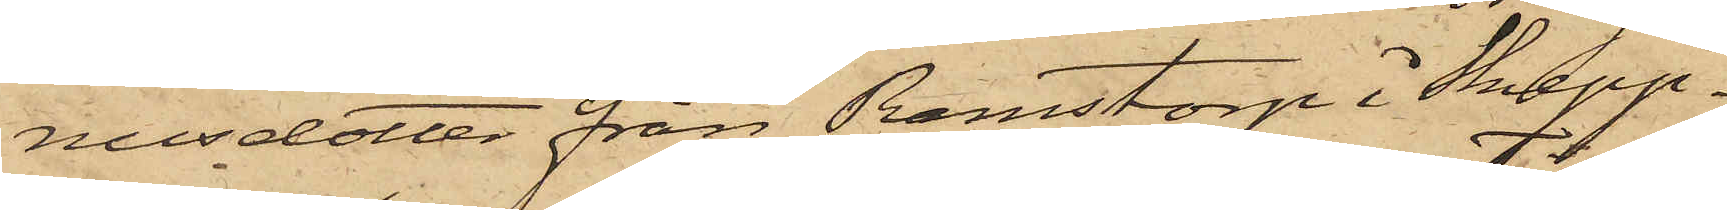nusdotter från Ramstorp i Skepp¬
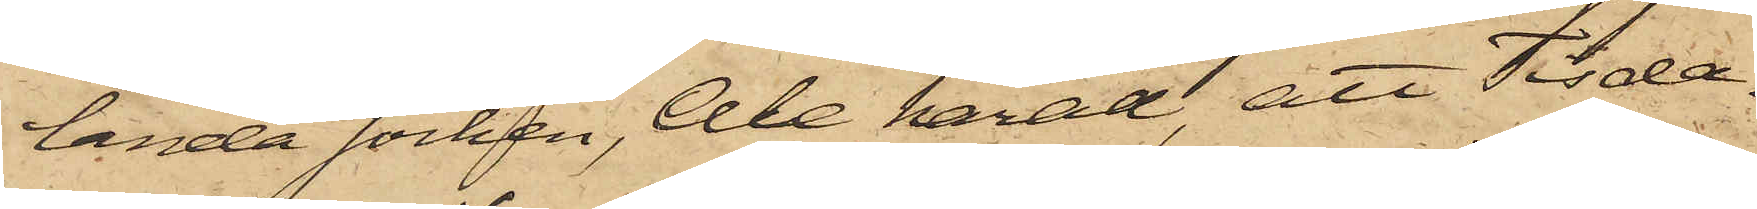landa socken, Ale härad, att Tisda¬
